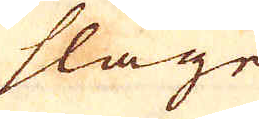slaget
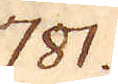781.
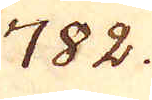782.
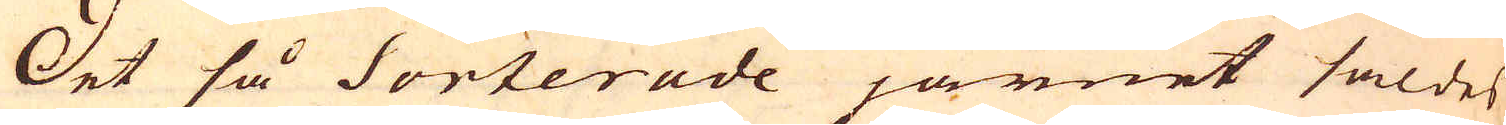Det så Sorterade järnet såldes
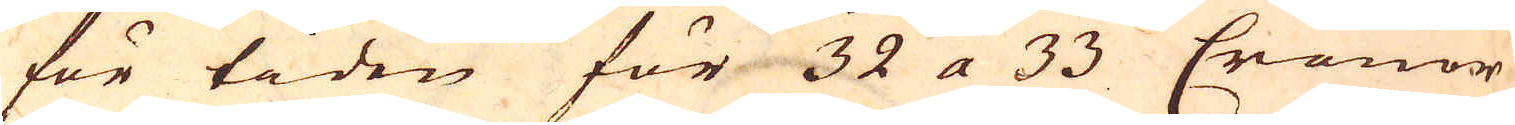för tiden för 32 a 33 Cronor
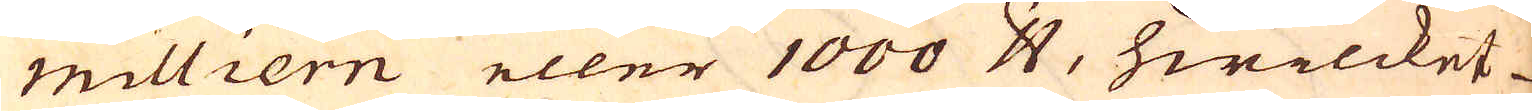milliern eller 1000 skålpund, hwilcket
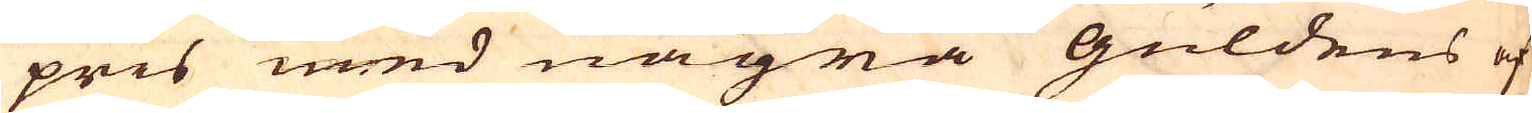pris med några guldens af
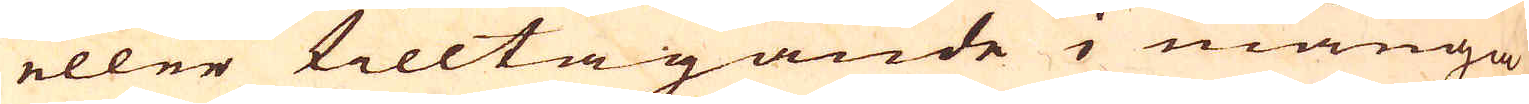eller tilltagande i många
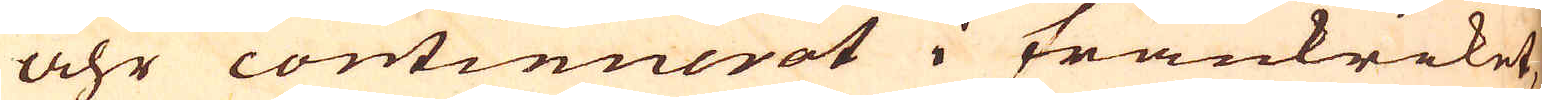åhr continuerat i Frankriket,
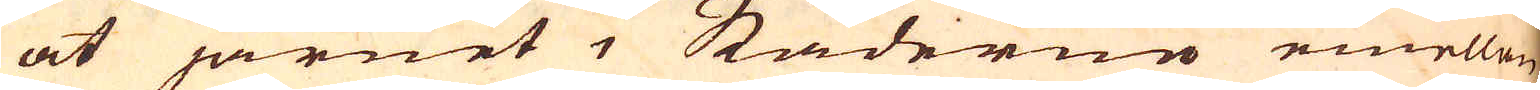at järnet i Städerne emellen
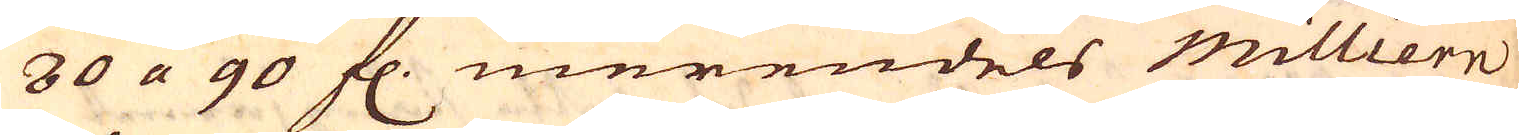80 a 90 fl. merendels milliern
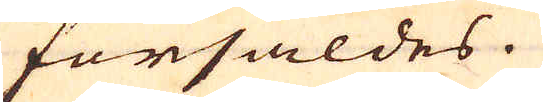försåldes.
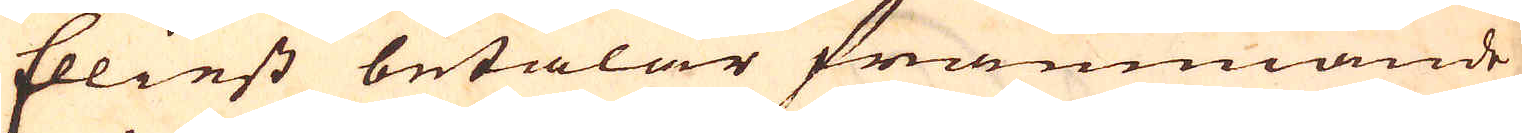Elliest betalar främmande
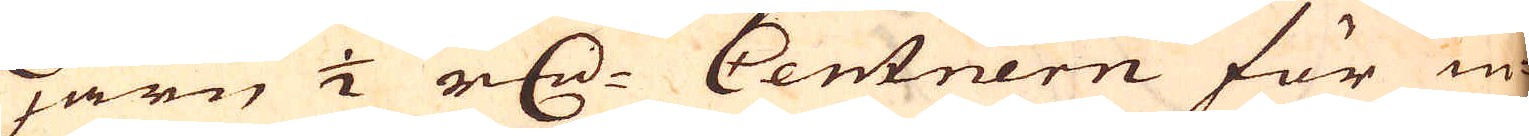järn 1/2 r:dr Centnern för in-
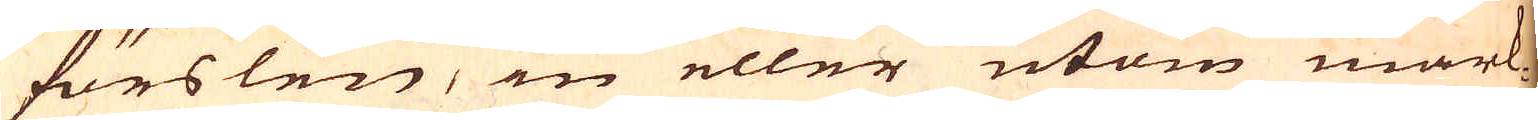förslen, in eller utom mark-
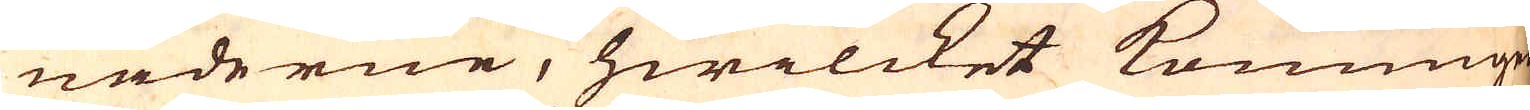naderne, hwilcket Konungen
